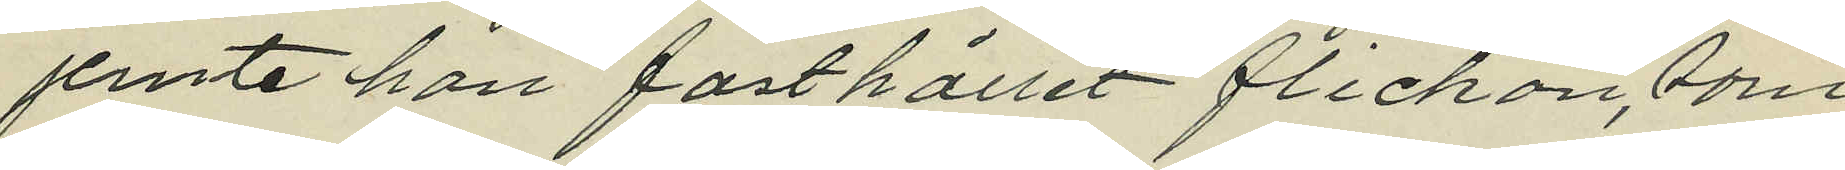jemte han fasthållit flickan, som
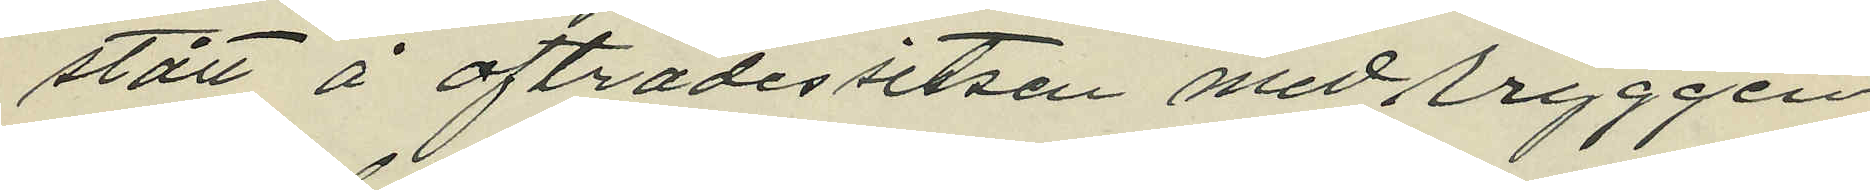stått å afträdessitsen med rryggen
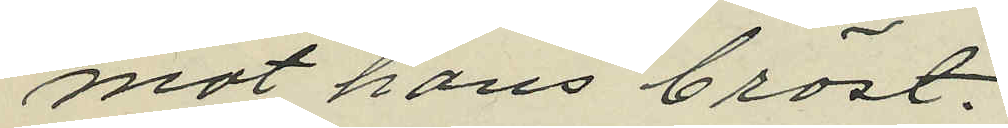mot hans bröst.
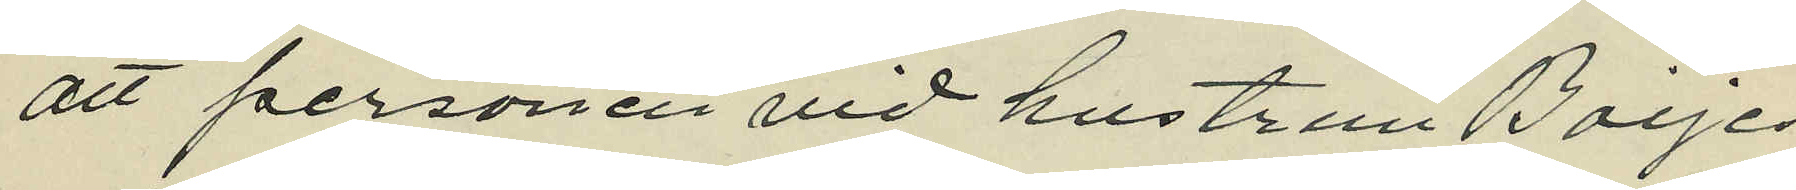att personen vid hustrun Boijes
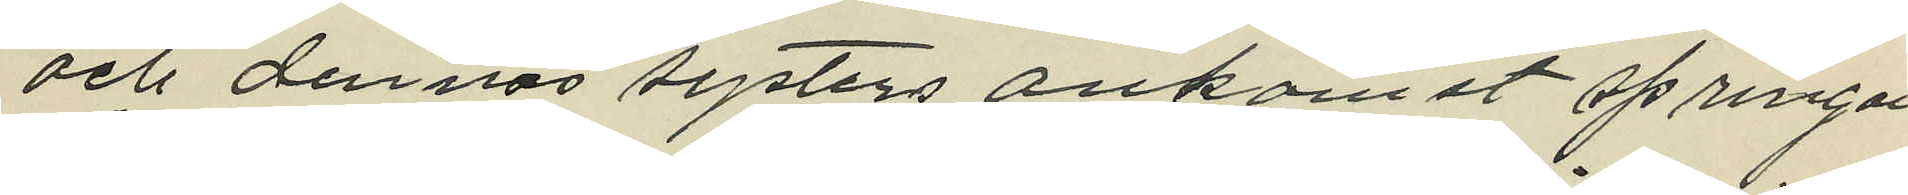och dennas systers ankomst springan
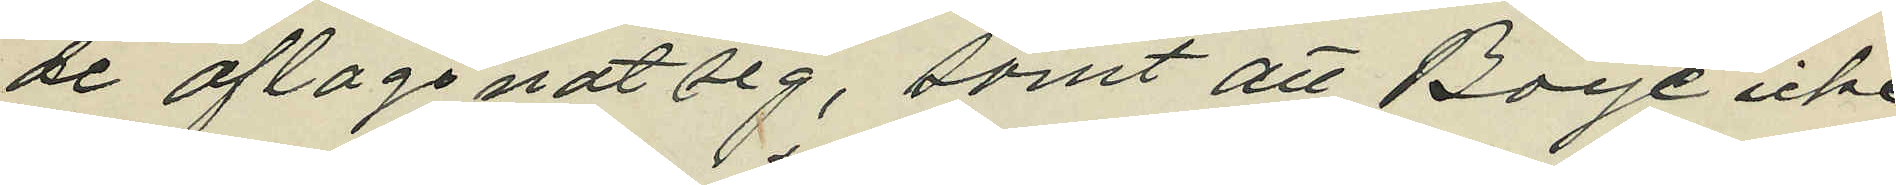de aflägsnat sig, samt att Boije icke
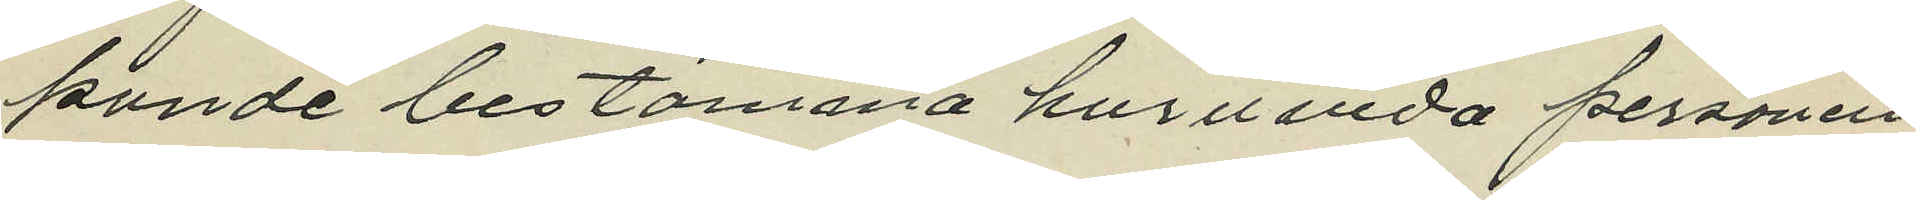kunde bestämma huruvida personen
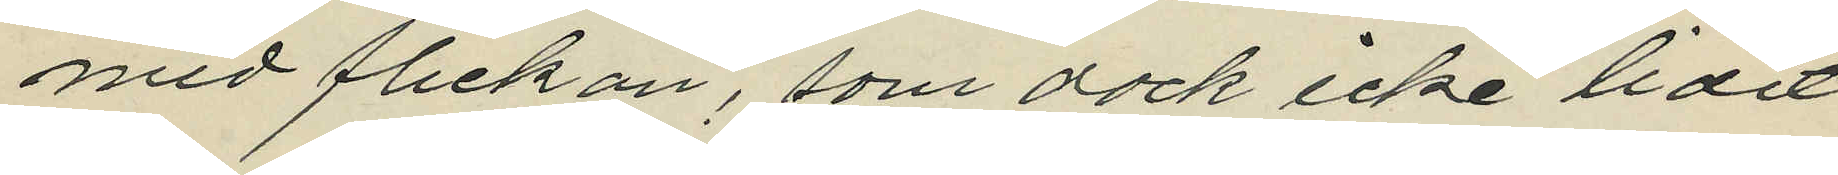med flickan, som dock icke lidit
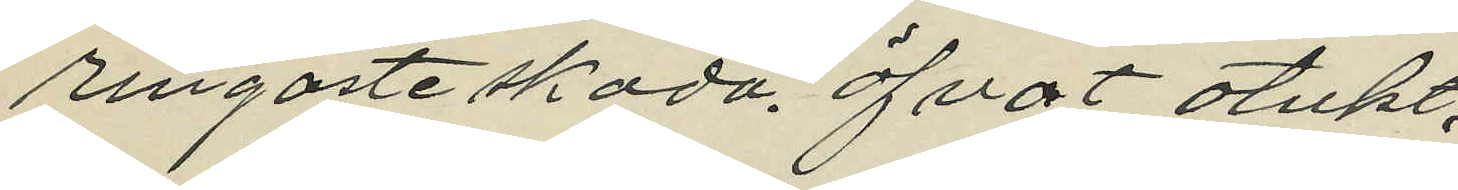ringaste skada. öfvat otukt.
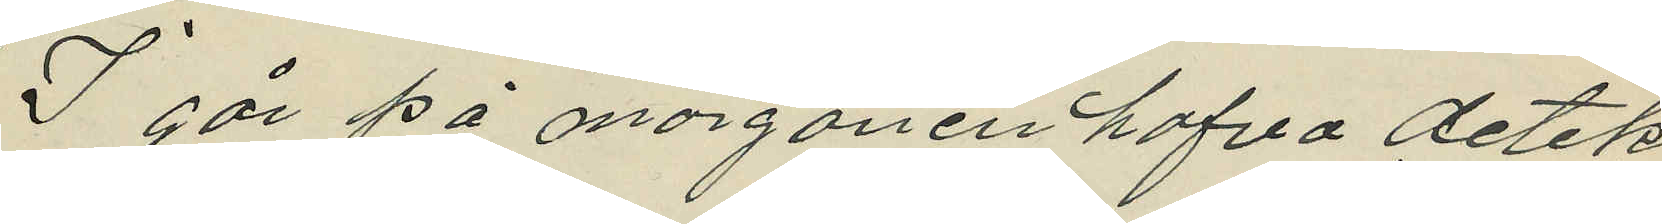I går på morgonen hafva detek¬
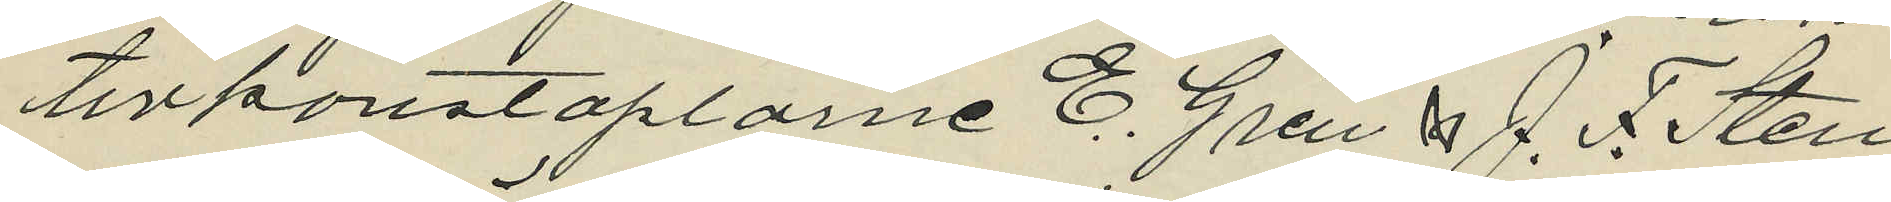tivkonstaplarne E. Gren & A. F. Sten¬
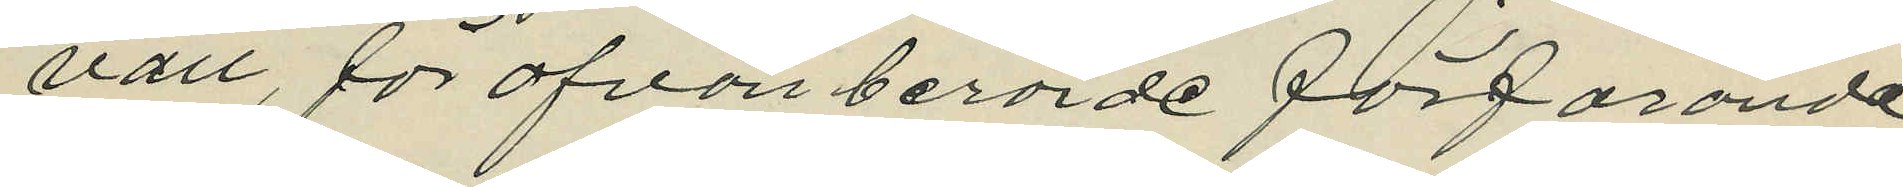vall, för ofvan berörde förfarande
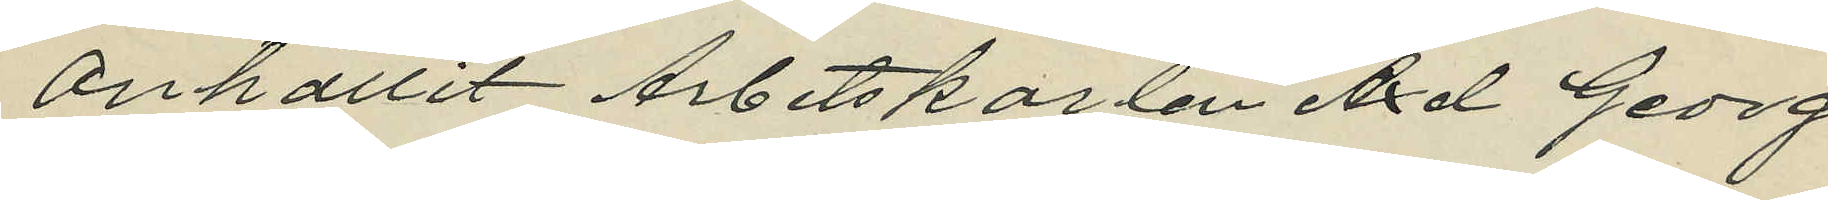anhållit Arbetskarlen Axel Georg
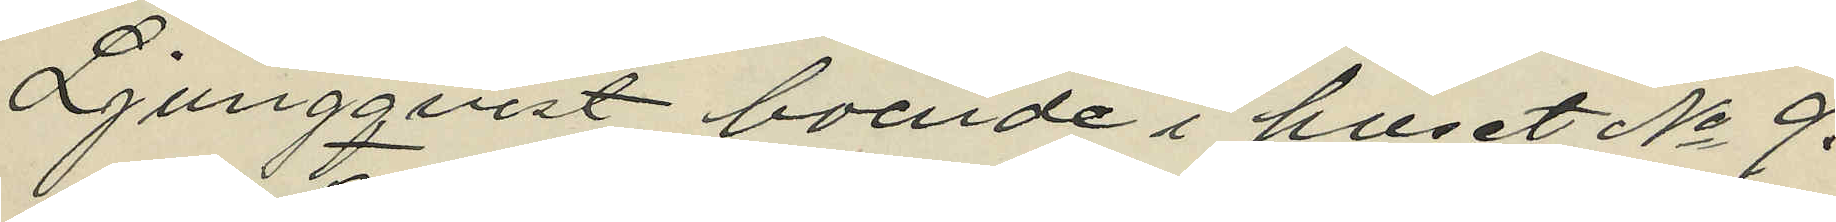Ljungqvist boende i huset No 9.
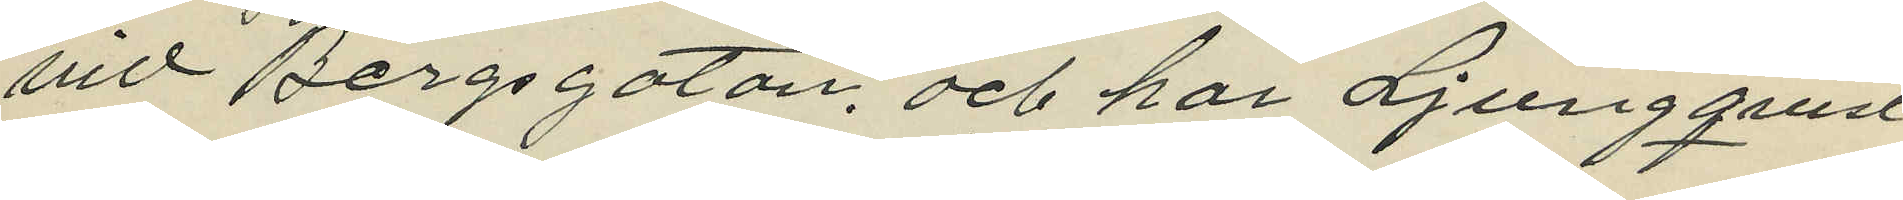vid Bergsgatan. och har Ljungqvist
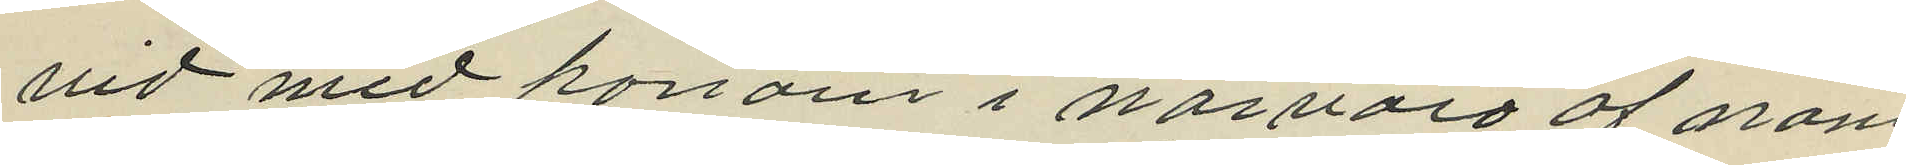vid med honom i närvaro af näm¬
